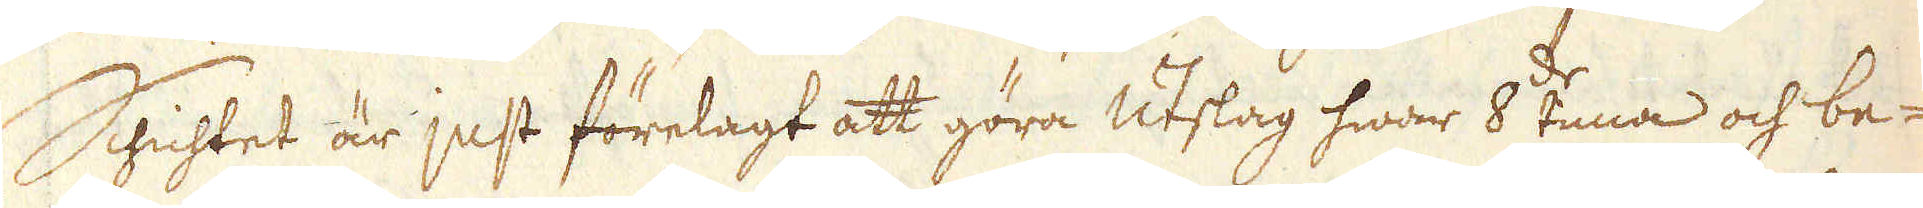Shichtet är just förelagt att göra utslag hwar 8:de tima och be-
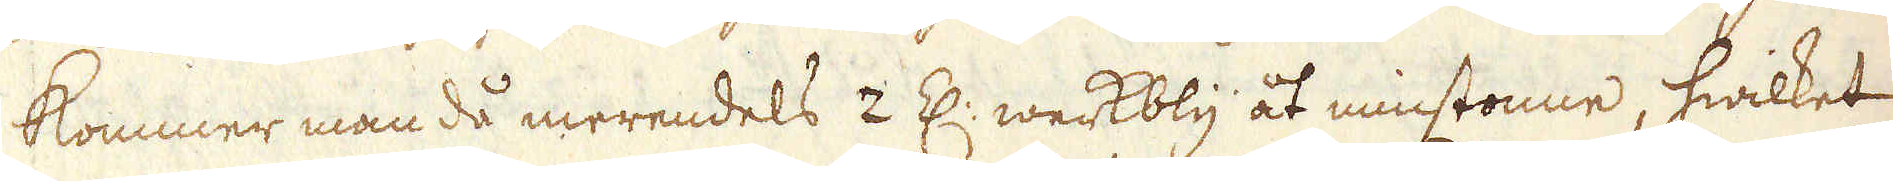kommer man då merendels 2 Z: werkbly åt minstonne, hwilket
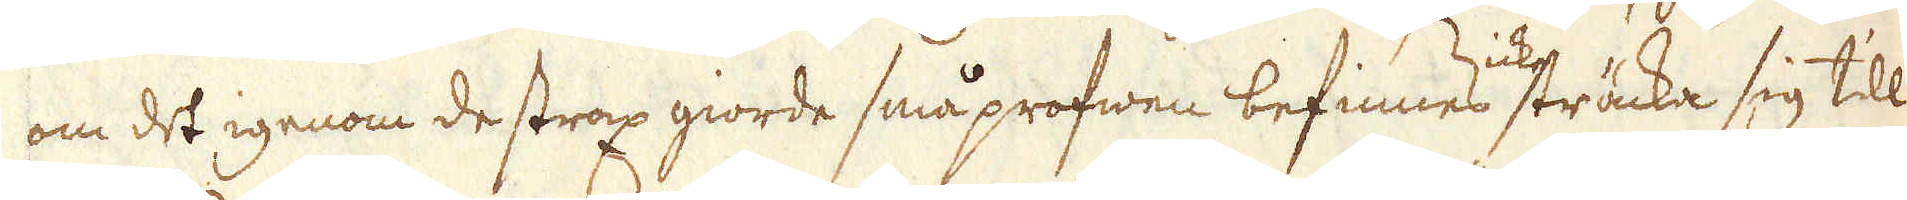om det igenom de strax giorde småprofwen befinnes icke sträcka sig till
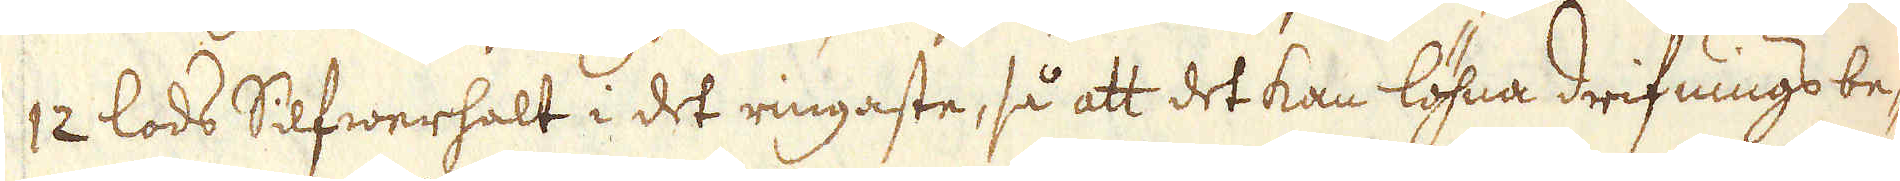12 lods Silfwerhalt i det ringaste, så att det kan löhna drifnings be-
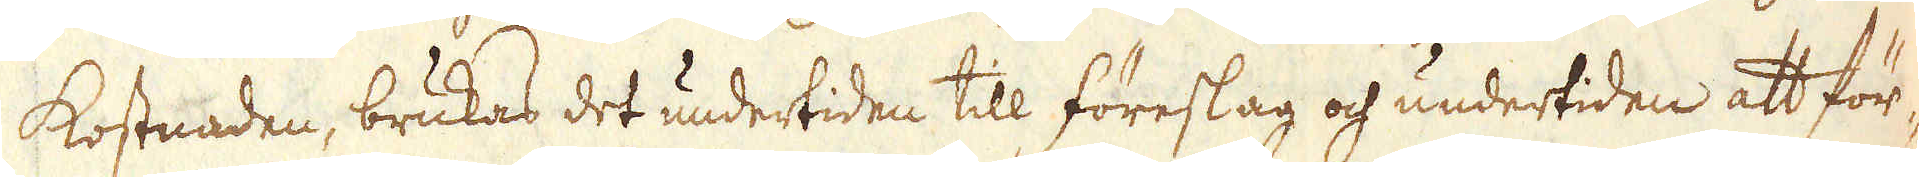kostnaden, brukas det undertiden till föreslag och undertiden att för-
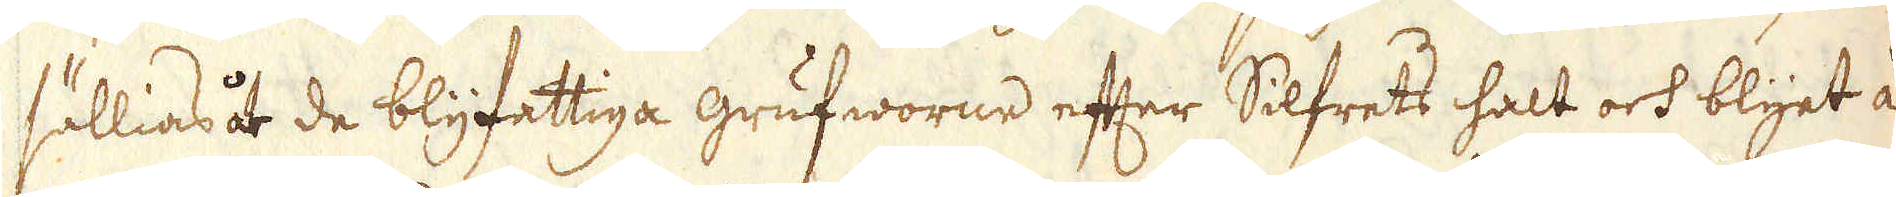sällias åt de blyfattiga grufworne efter Silfrets halt och blyet à
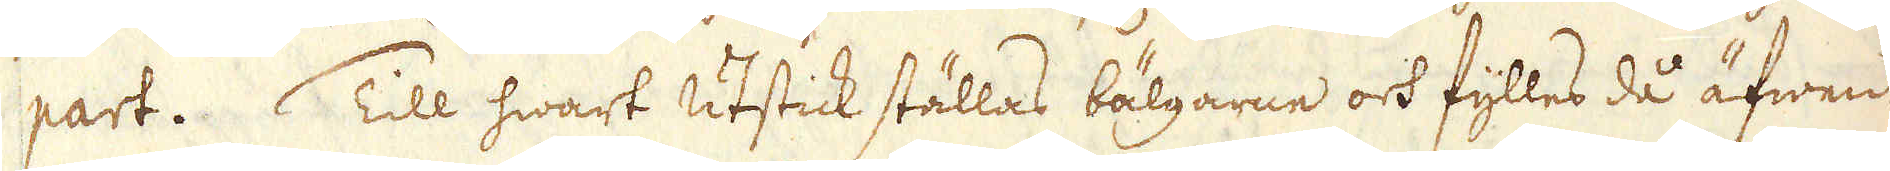part. Till hwart utstick ställas bälgarne och fylles då äfwen
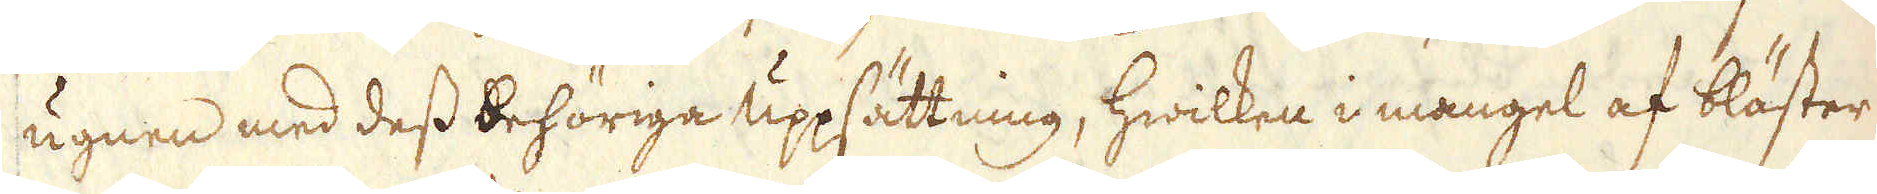ugnen med dess behöriga uppsättning, hwilken i mangel af bläster
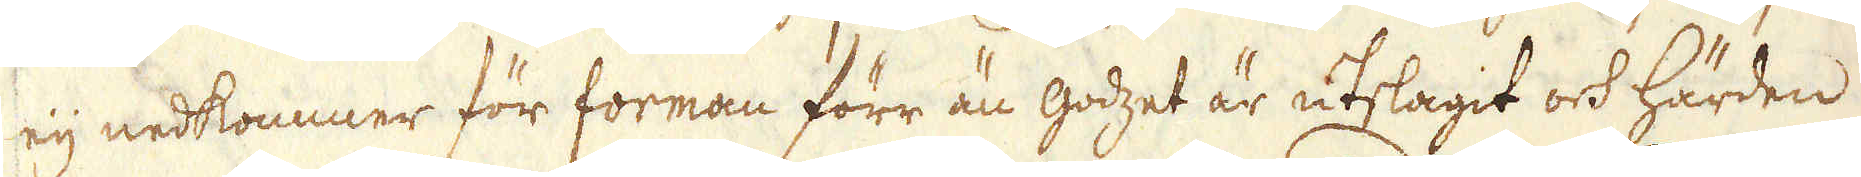eij nedkommer för forman förr än godzet är utslagit ock härden
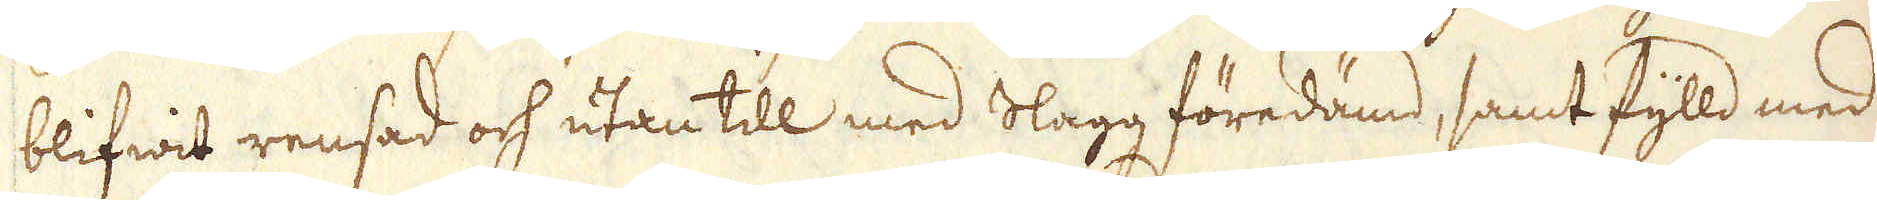blifwit rensad och utan till med Slagg föredämd, samt fylld med
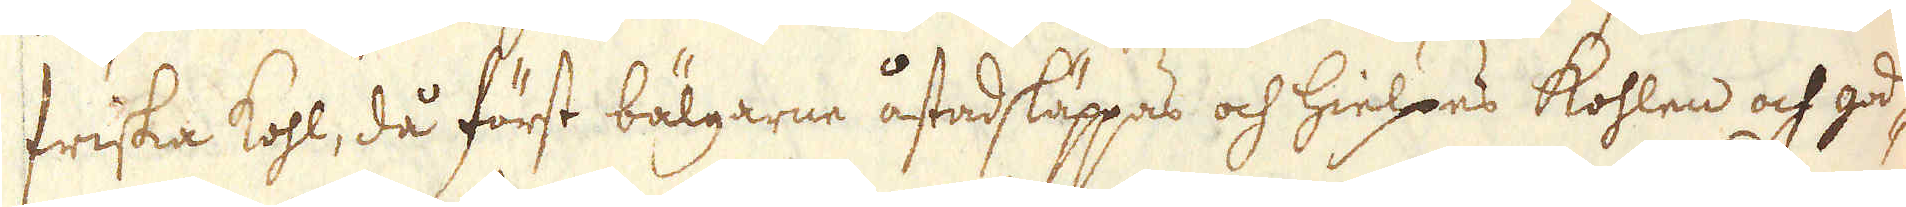friska kohl, då först bälgarne åstadsläppas och hielpes kohlen och god-
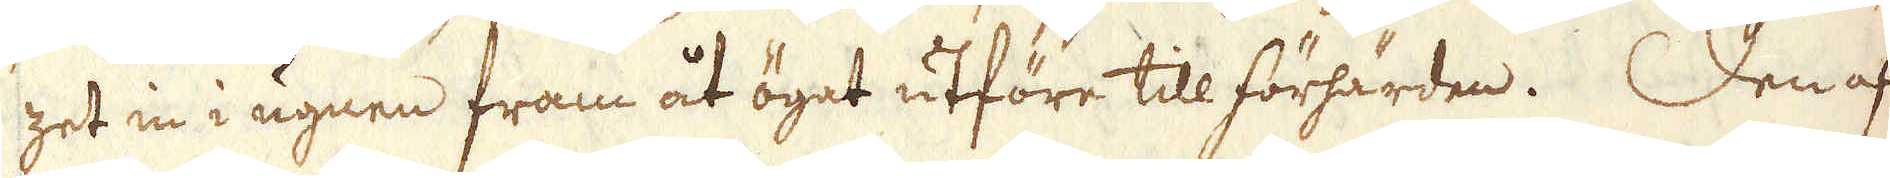zet in i ugnen fram åt ögat utföre till förhärden. Den af
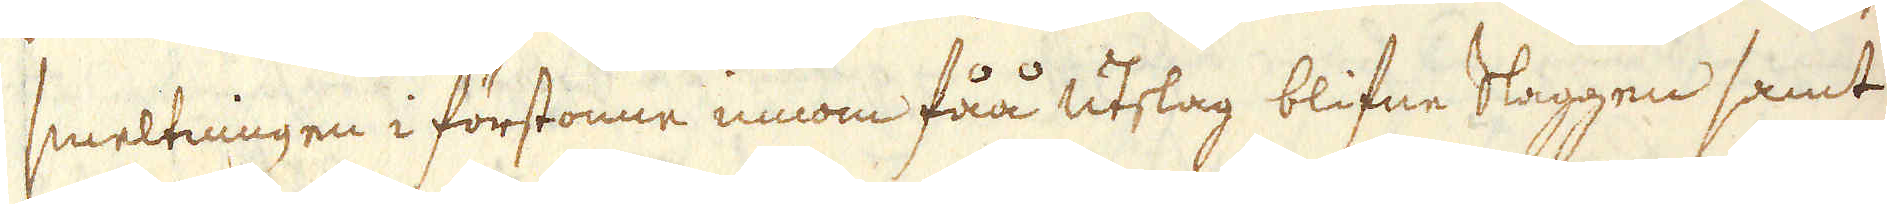smeltningen i förstonne innom fåå utslag blifne Slaggen samt
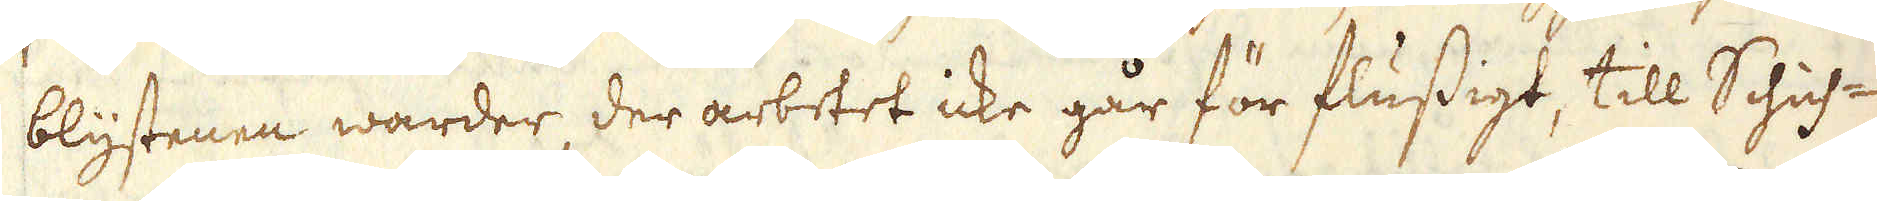blystenen warder, der arbetet icke går för flussigt, till Schich-
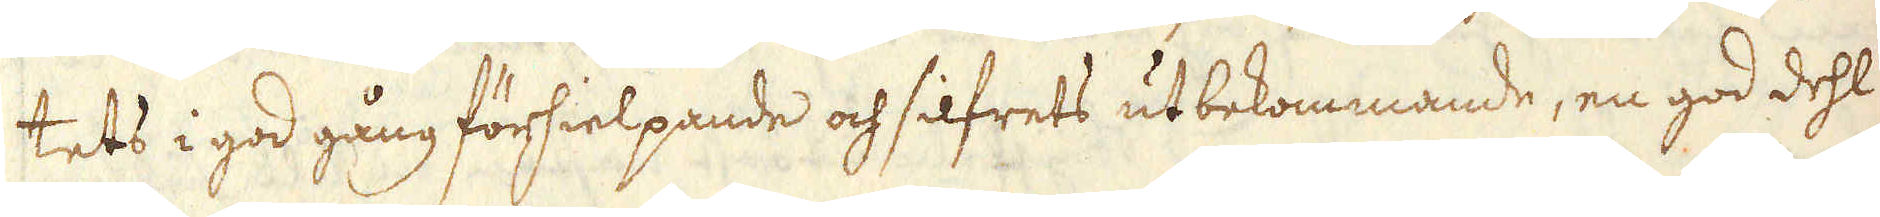tets i god gång förhielpande och silfrets utbekommande, en god dehl
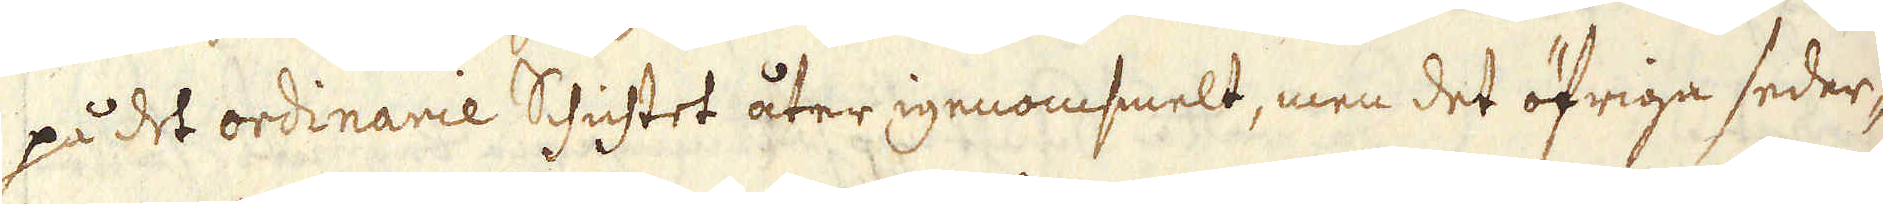på det ordinarie Schichtet åter igenomsmelt, men det öfriga seder-
